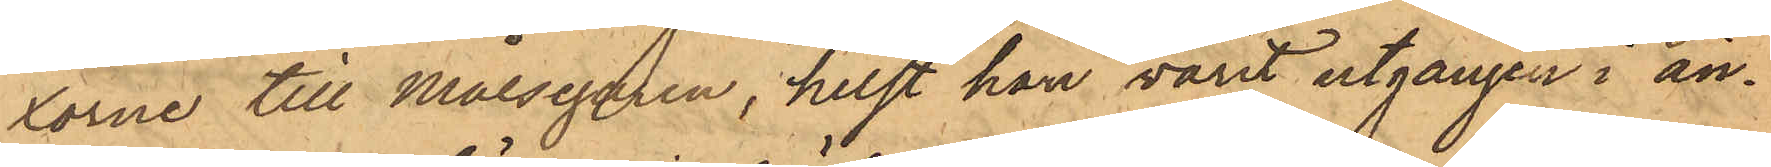xorne till Målsegaren, helst han varit utgången i än¬
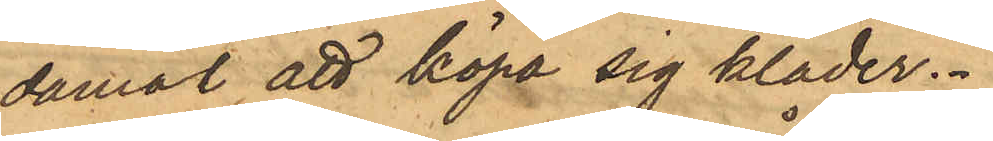damål att köpa sig kläder.
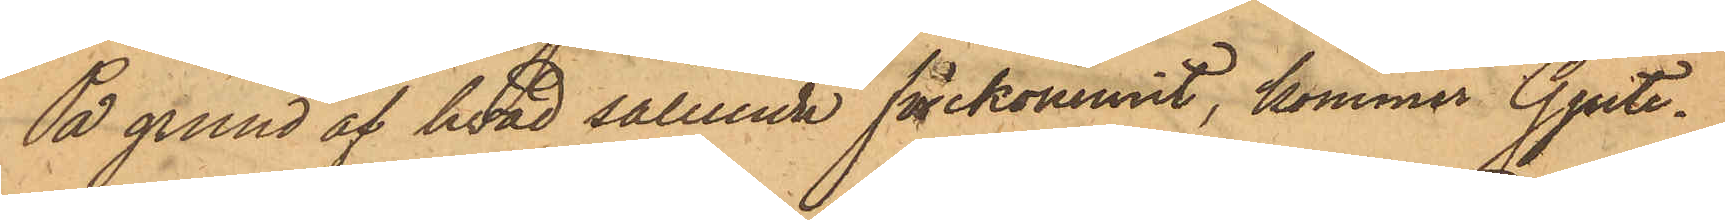På grund af hvad sålunda förekommit, kommer Gjute¬
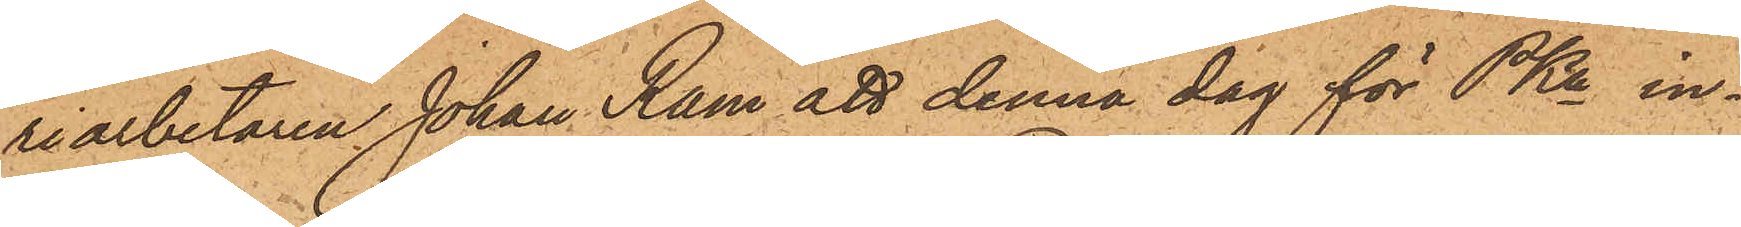riarbetaren Johan Ram att denna dag för PKn in¬
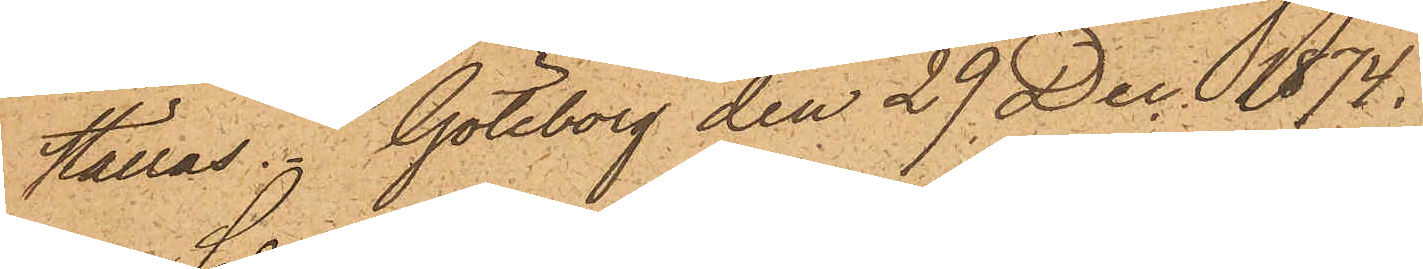ställas. Göteborg den 29 Dec. 1874,
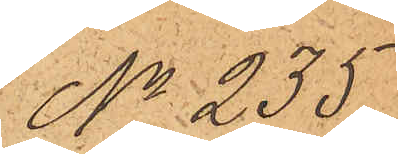No 235
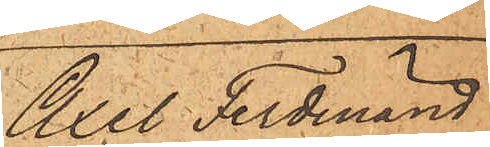Axel Ferdinand
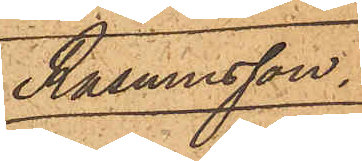Rasmusson.
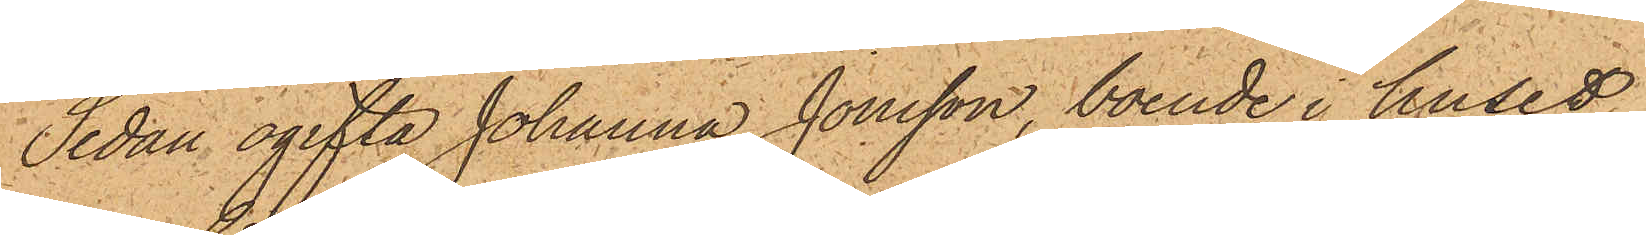Sedan ogifta Johanna Jonsson, boende i huset
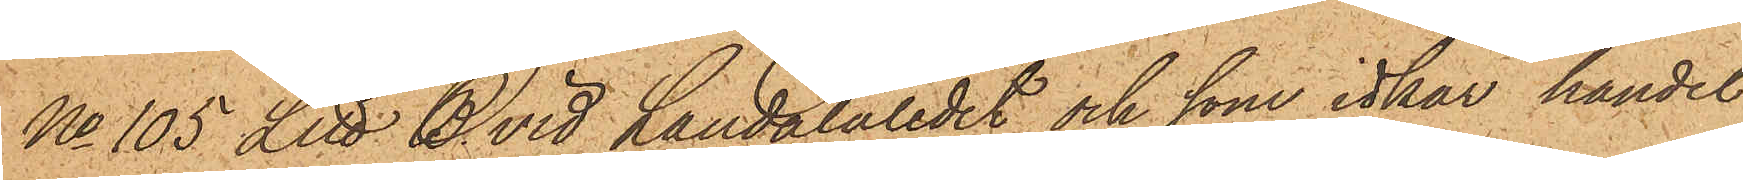No 105 Litt B vid Landalaledet och som idkar handel
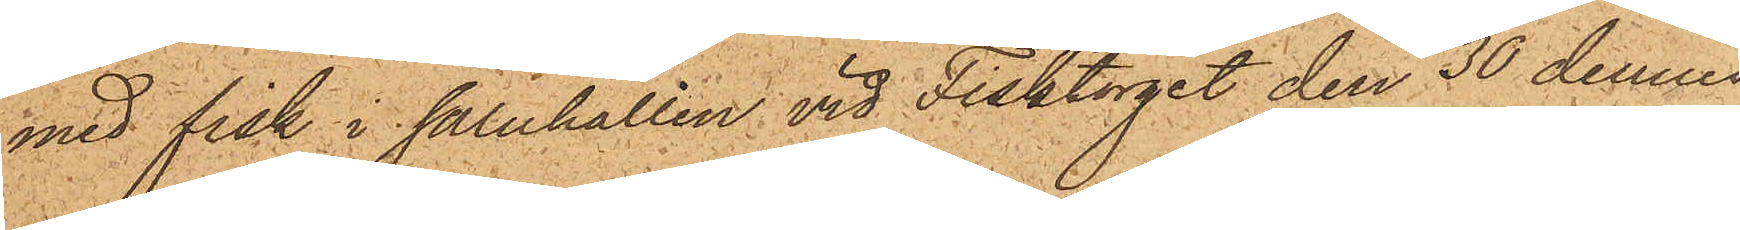med fisk i saluhallen vid Fisktorget den 30 dennes
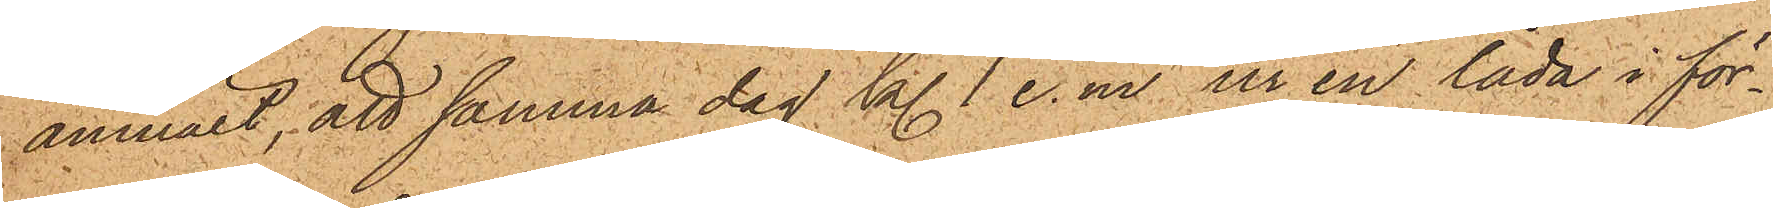anmält, att samma dag kl. 1 e.m. ur en låda i för¬
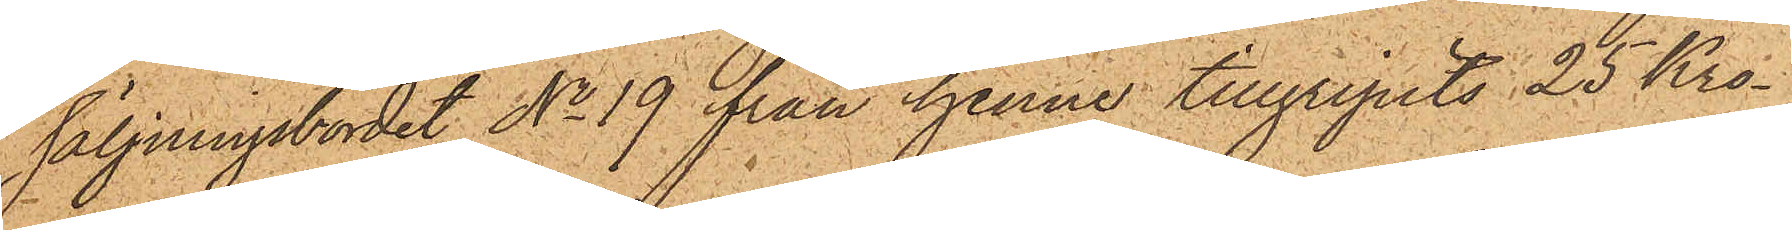säljningsbordet No 19 från henne tillgripits 25 Kro¬
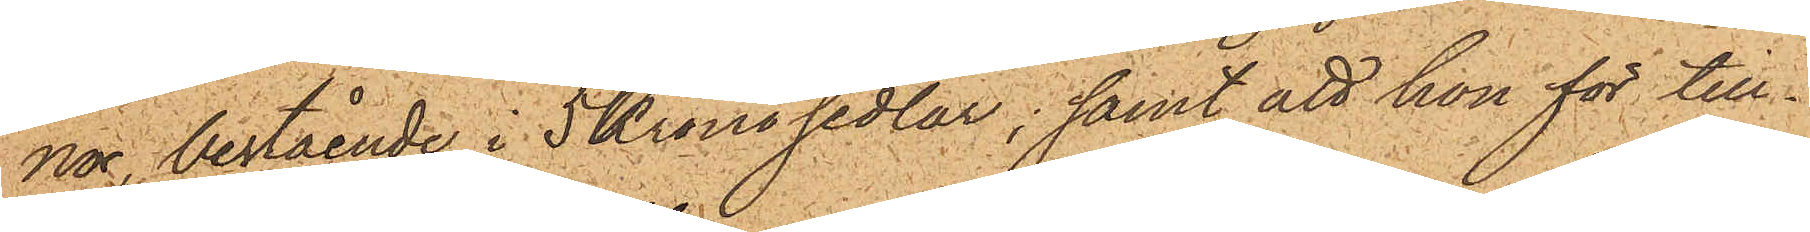nor, bestående i 5Kronosedlar; samt att hon för till¬
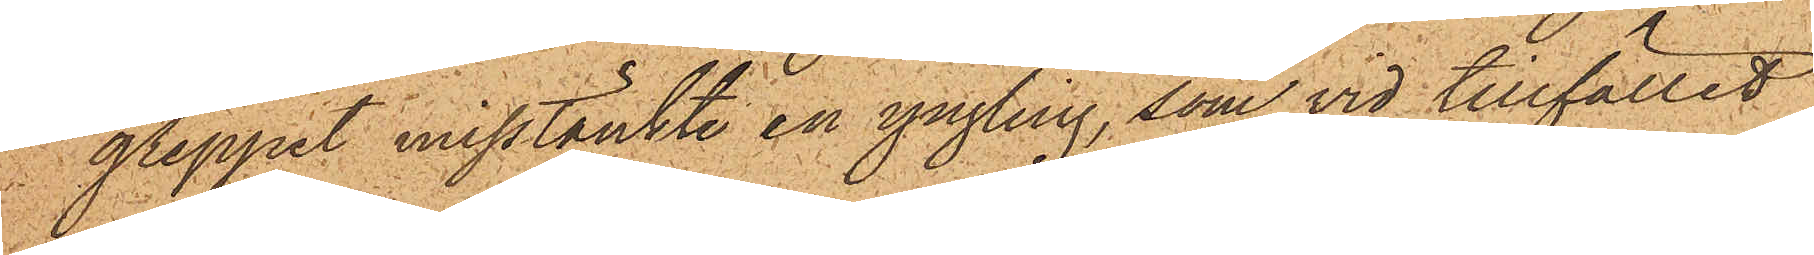greppet misstänkte en yngling, som vid tillfället
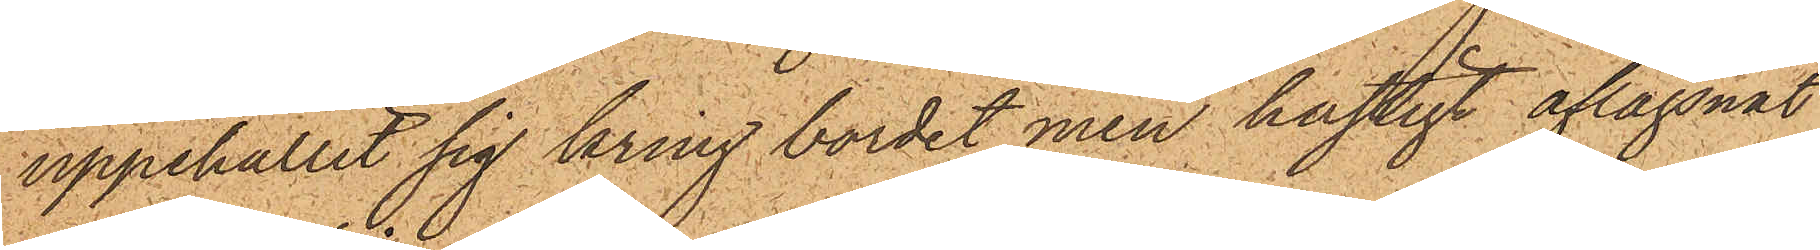uppehållit sig kring bordet men hastigt aflägsnat
